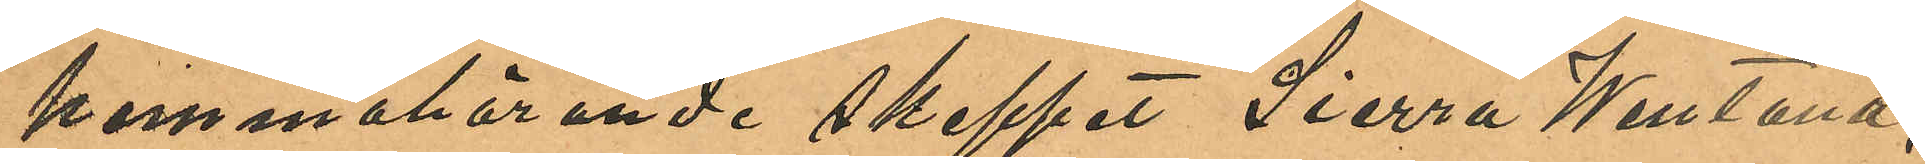hemmahörande skeppet "Sierra Wentana";
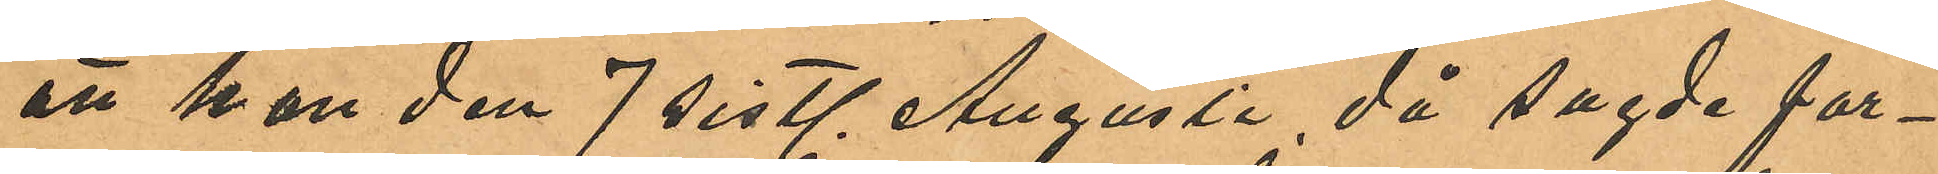att han den 7 sistl. Augusti då sagde far¬
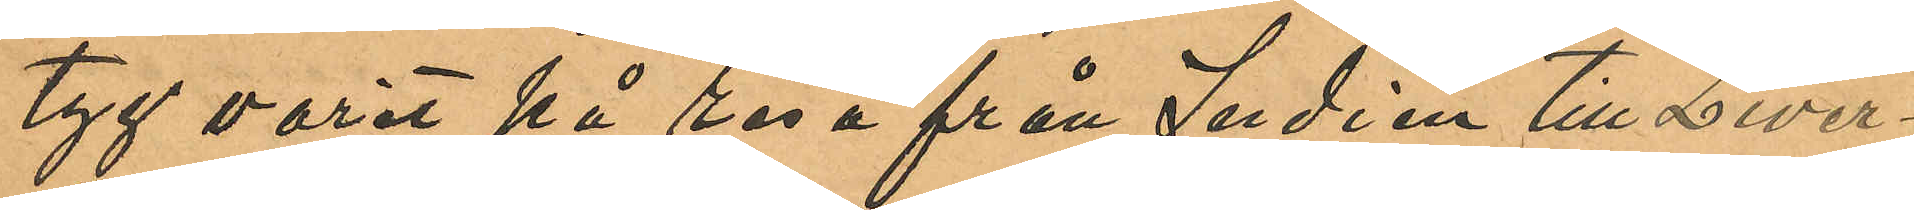tyg varit på resa från Indien till Liver¬
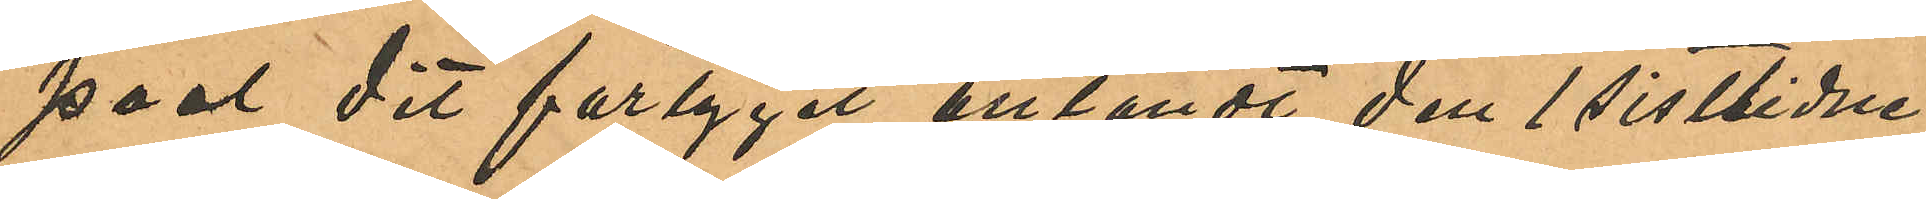pool dit fartyget anländt den 1 sistlidne
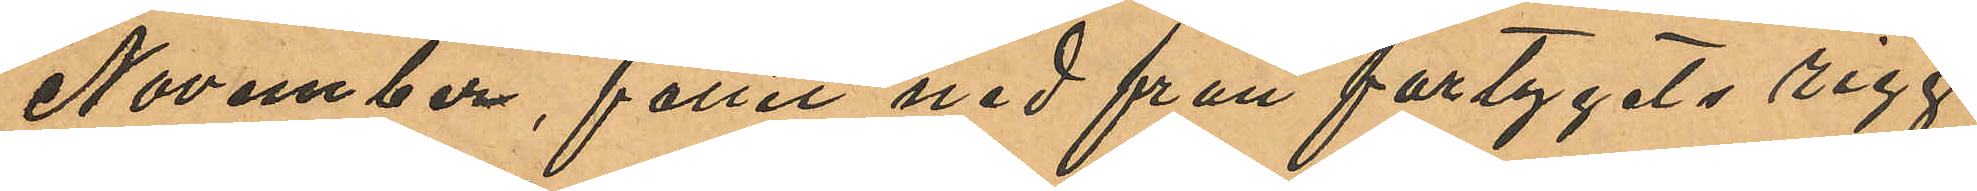November, fallit ned från fartygets rigg
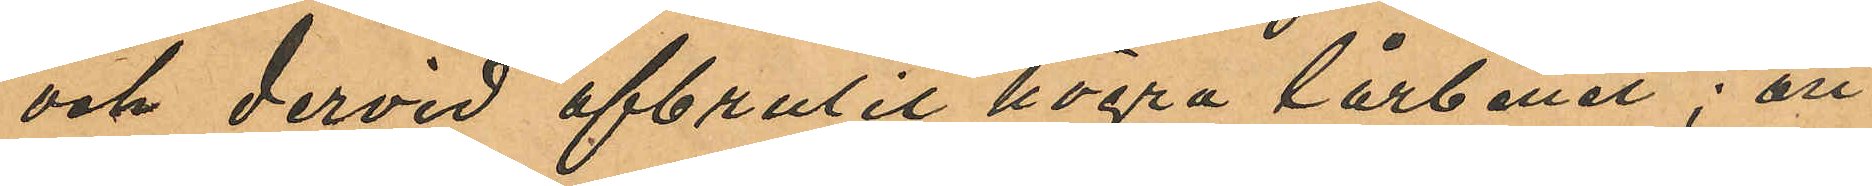och dervid afbrutit högra lårbenet; att
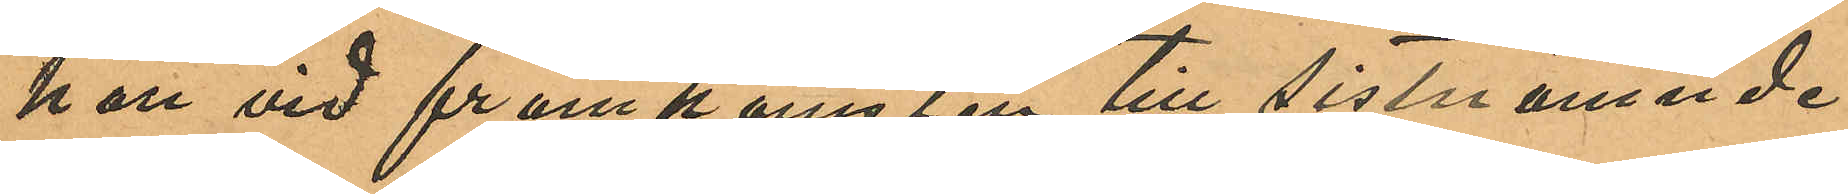han vid framkomsten till sistnämnde
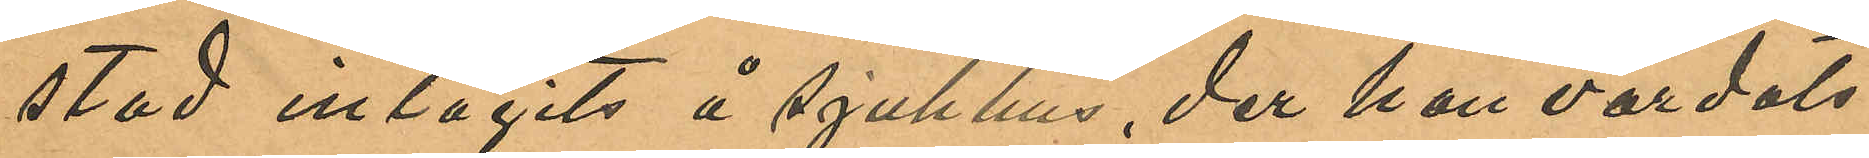stad intagits å sjukhus, der han vårdats
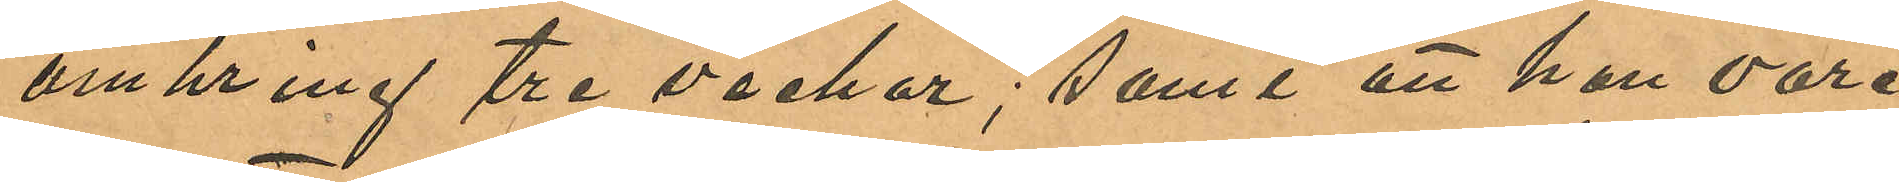omkring tre veckor; samt att han vore
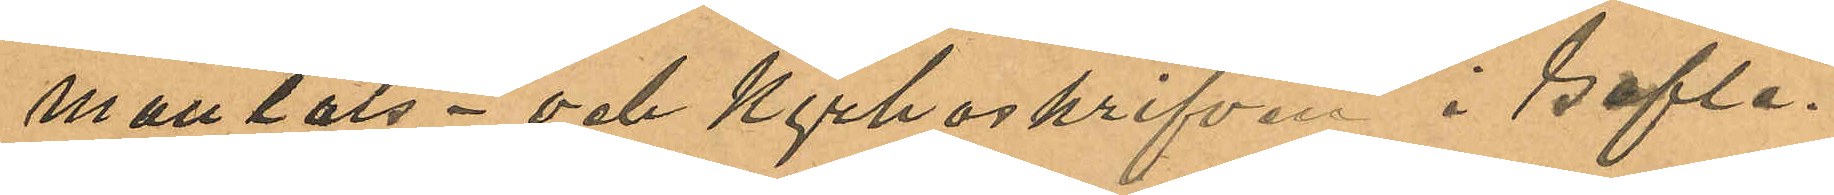mantals- och Kyrkoskrifven i Gefle.
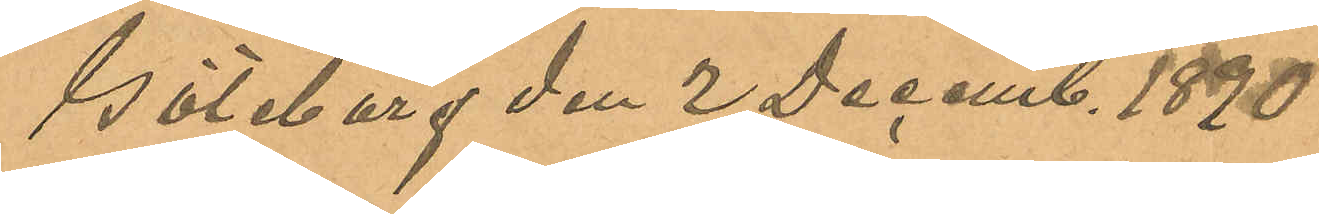Göteborg den 2 Decemb. 1890
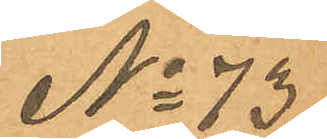No 73
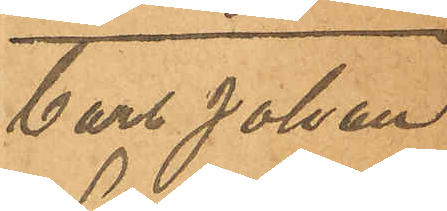Carl Johan
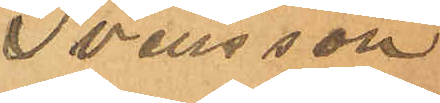Svensson
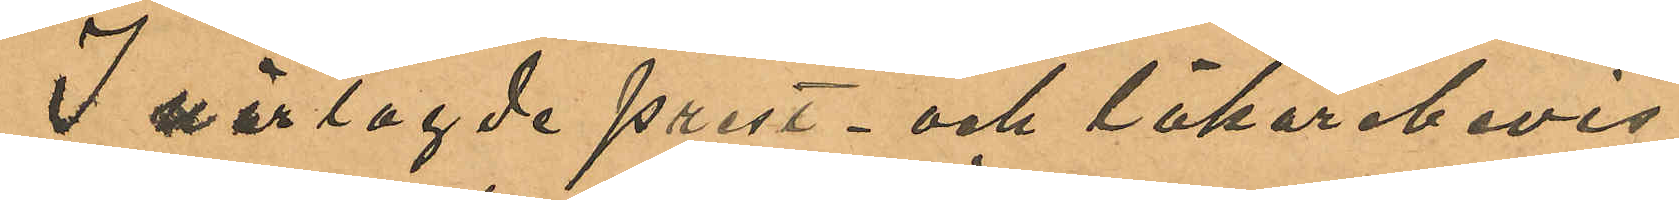I närlagde prest- och läkarebevis
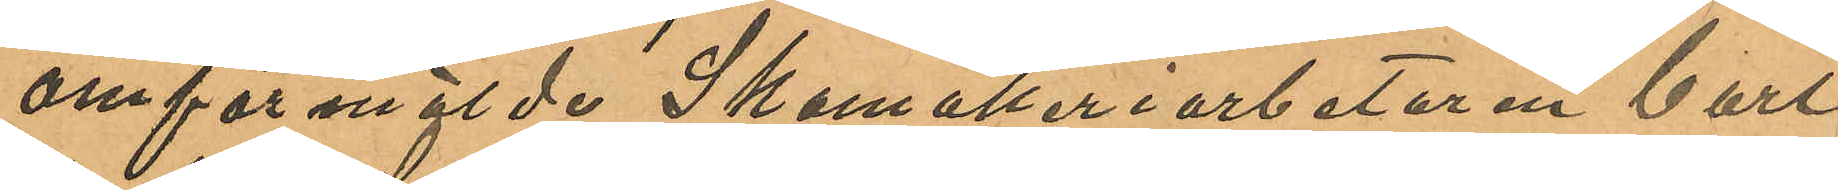omförmälde Skomakeriarbetaren Carl
